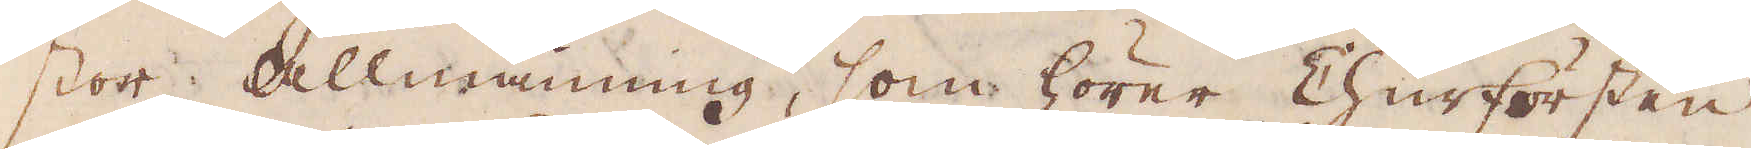stor allmänning, som hörer Churfursten
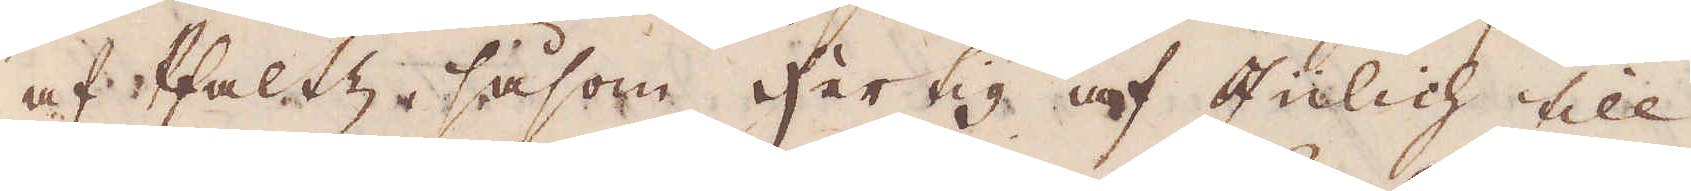af Pfaltz, såsom hertig af Julich till.
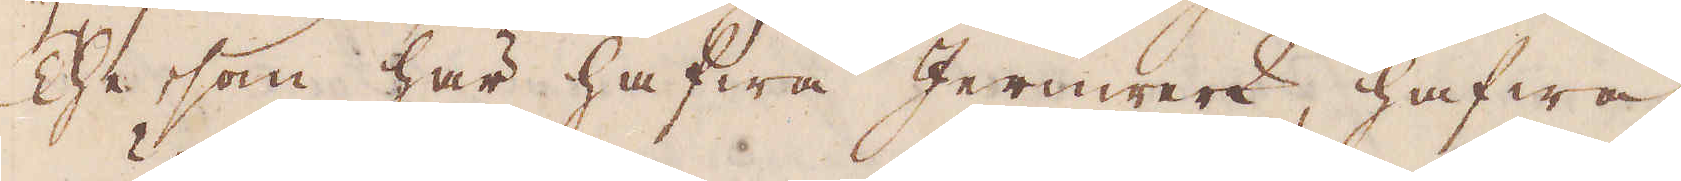The, som här hafwa Jernwerk, hafwa
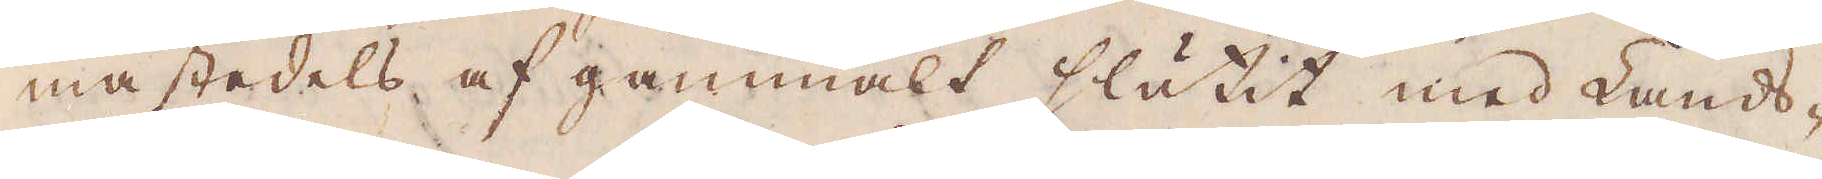mästedels af gammalt slutit med Lands-
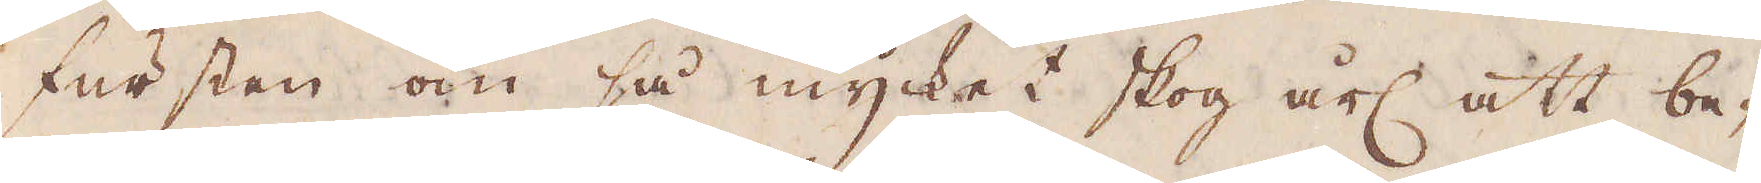fursten om så mycket skog årl: att be-
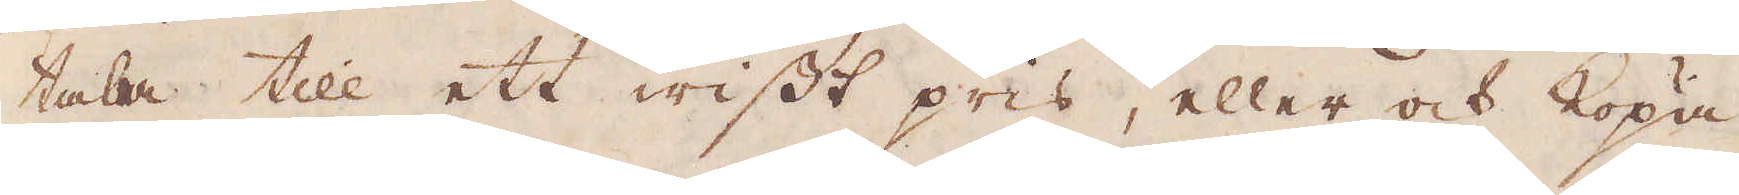tala till ett wisst pris, eller ock köpa
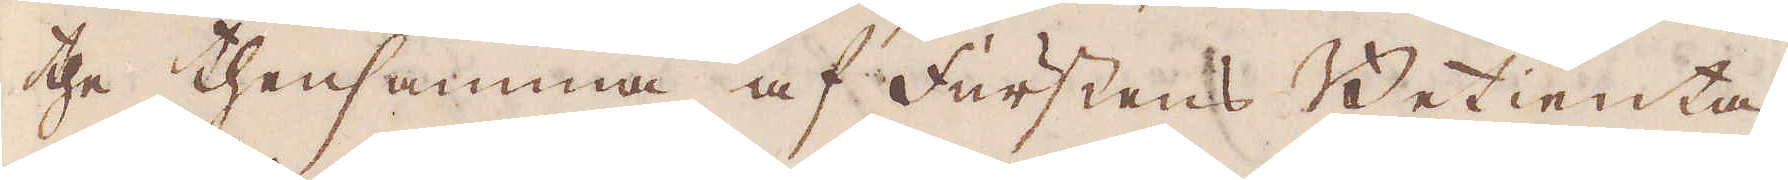the thensamma af Furstens Betienta
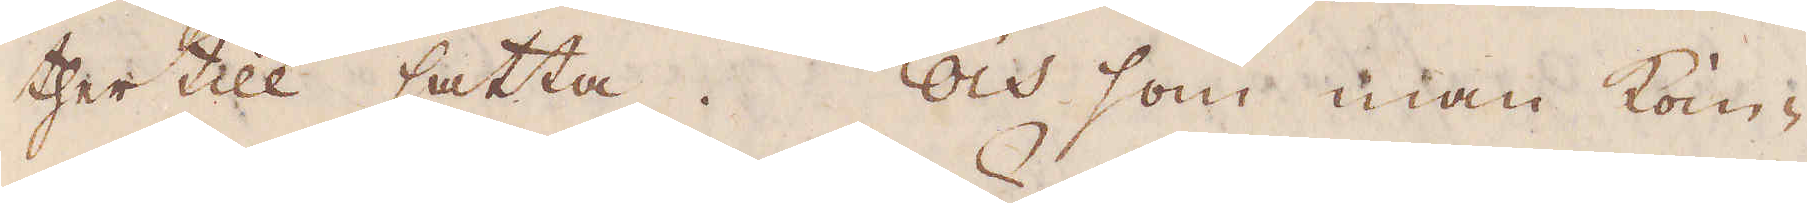ther till satta. Och som man kom-
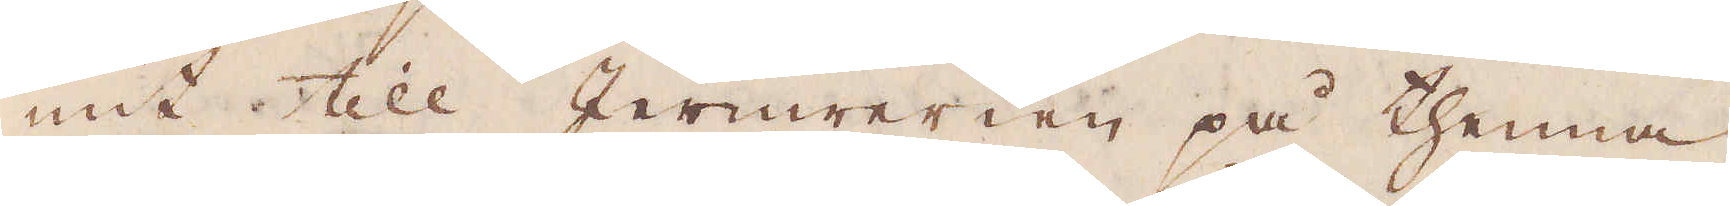mit till Jernwerken på thenna
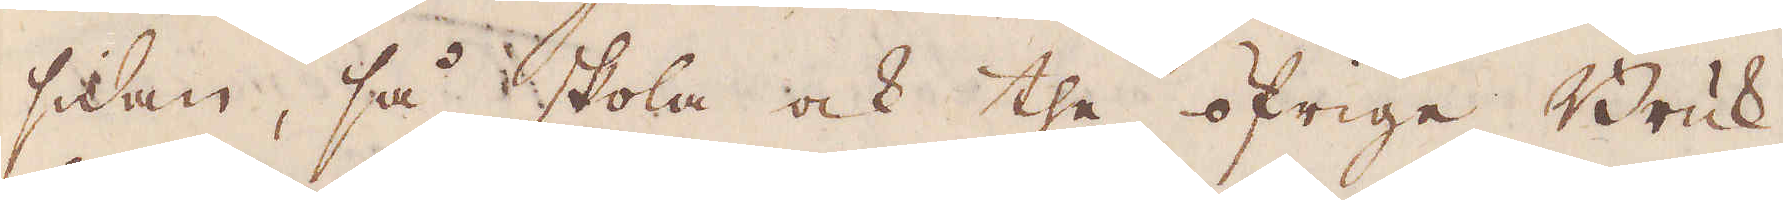sidan, så skola ock the öfrige Bruk,
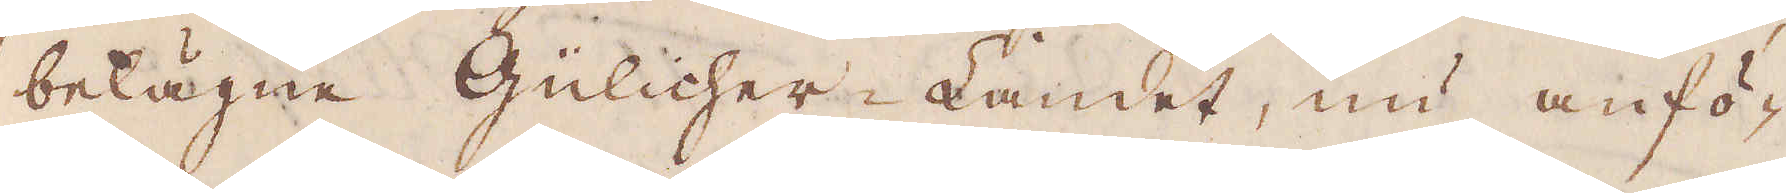belägne Gülicher-Landet, nu anfö-
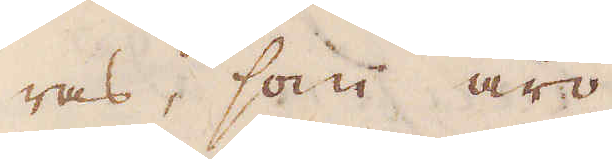ras, som äro
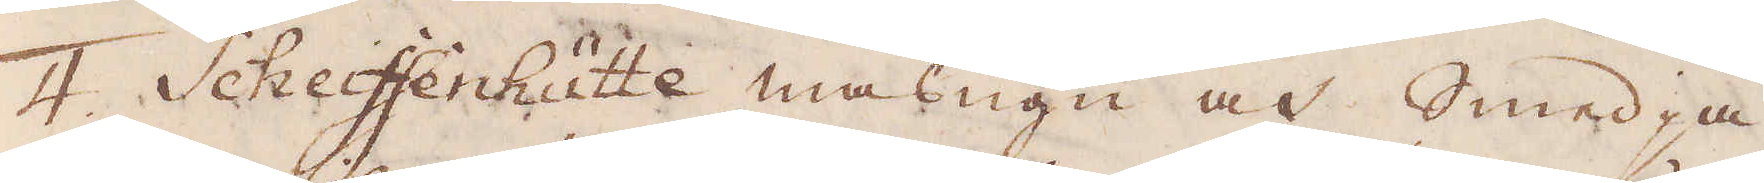4. Scheiffenhütte masugn och Smedja,
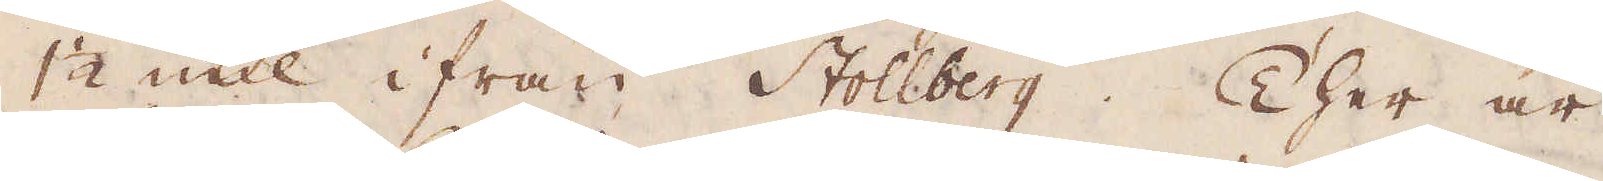1 1/2 mil ifrån Stollberg. Ther är
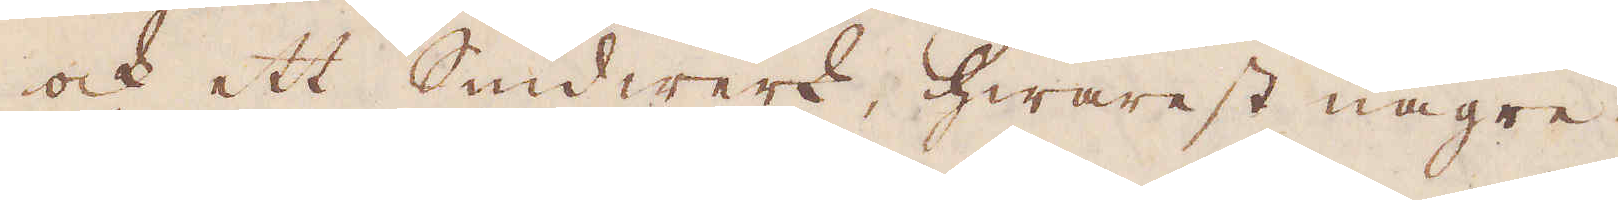och ett Smidwerk, hwarest någre
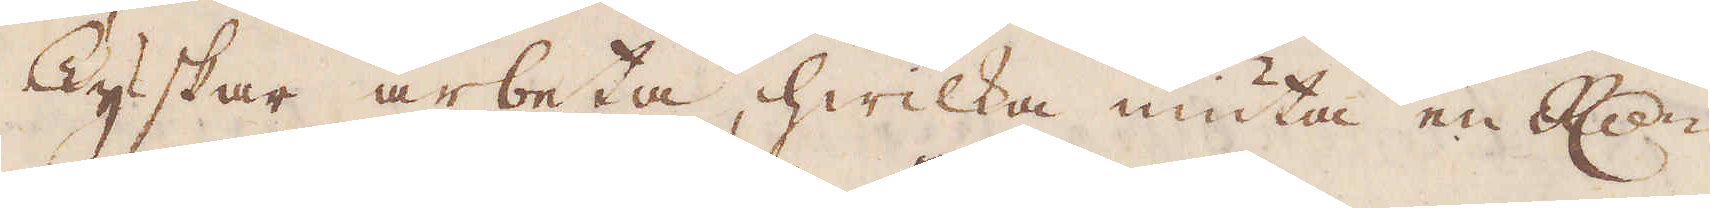Tyskar arbeta, hwilka niuta en Rd:r
